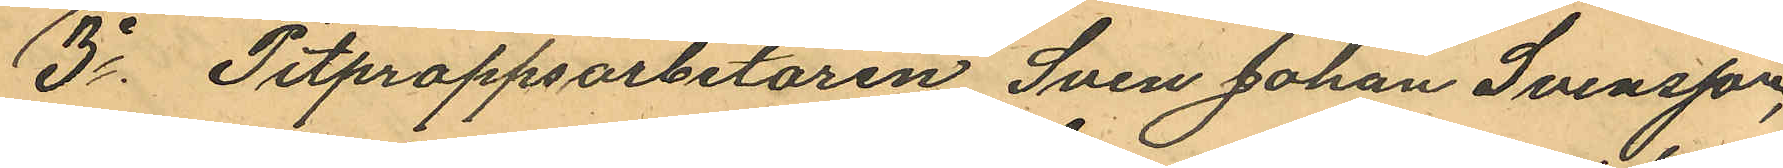3o Pitproppsarbetaren Sven Johan Svensson,
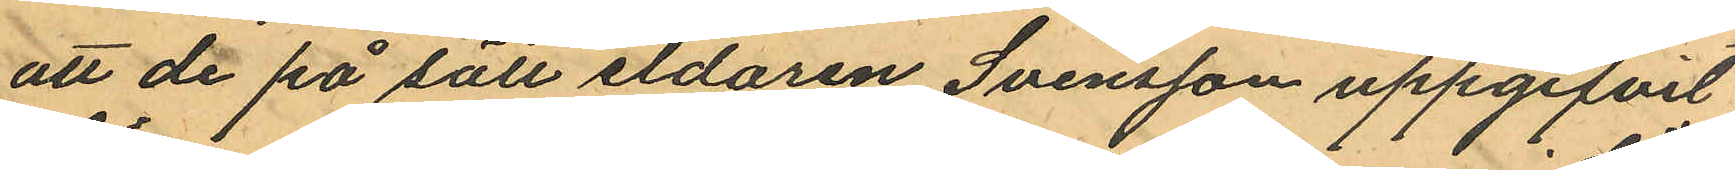att de på sätt eldaren Svensson uppgifvit
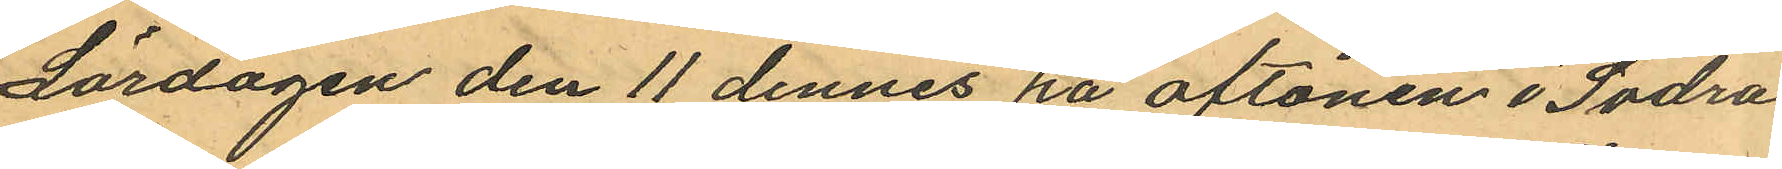Lördagen den 11 dennes på aftonen i Södra
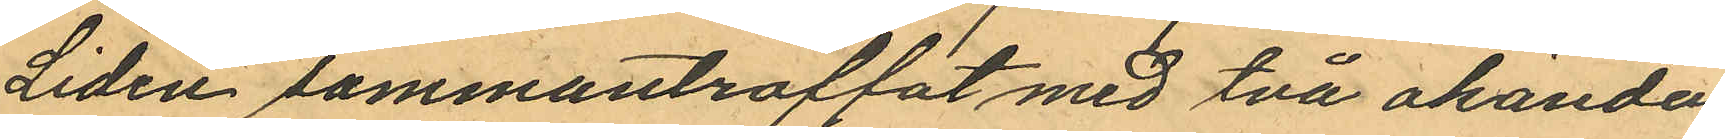Liden sammanträffat med två okända
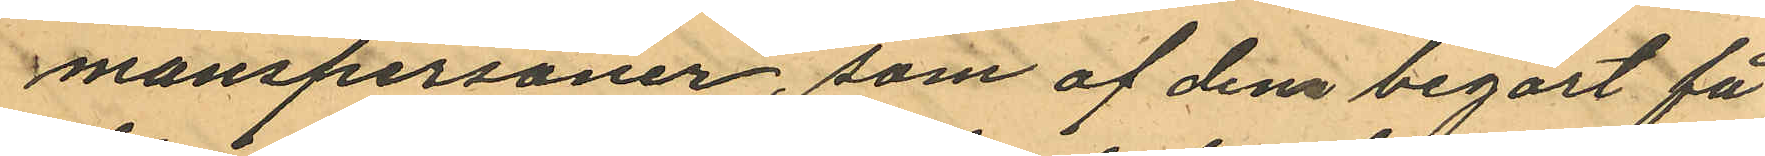manspersoner, som af dem begärt få
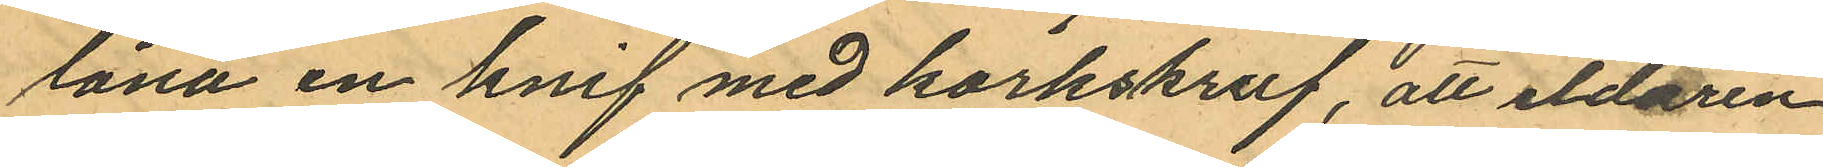låna en knif med korkskruf, att eldaren
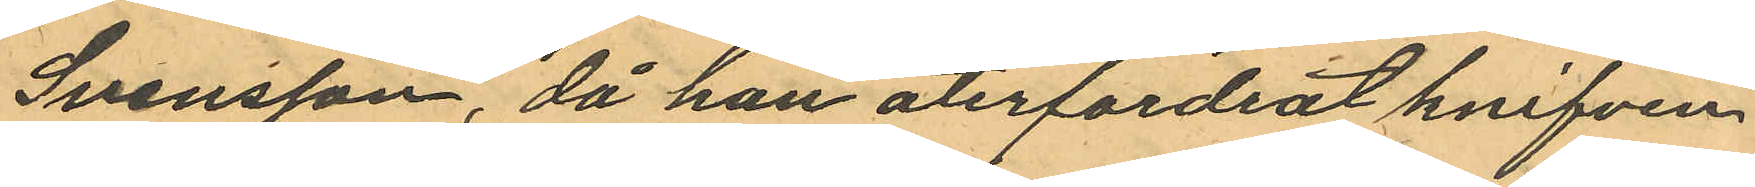Svensson, då han återfordrat knifven
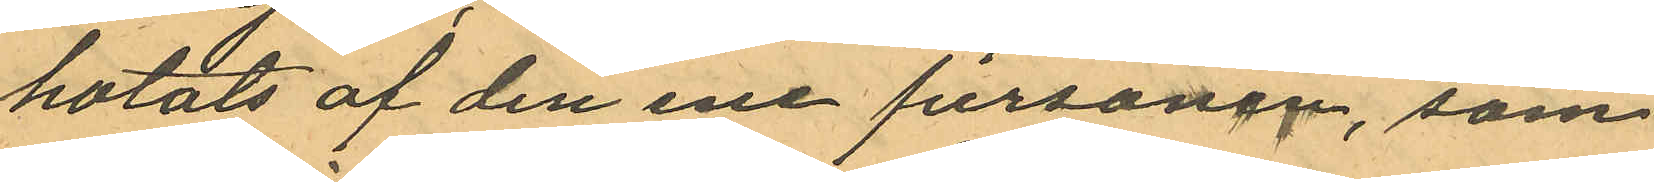hotats af den ene personen, som
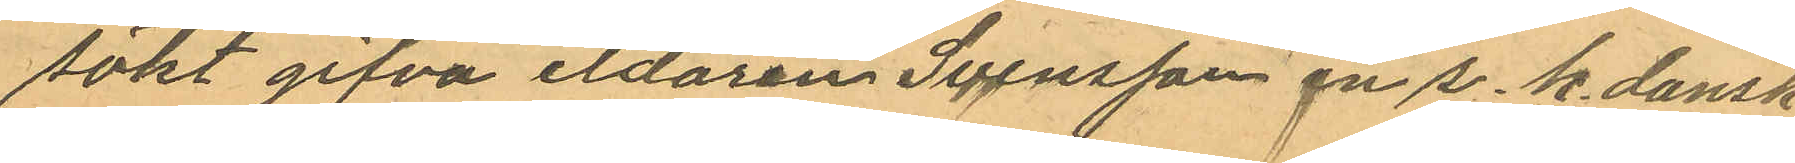sökt gifva eldaren Svensson en s.k. dansk
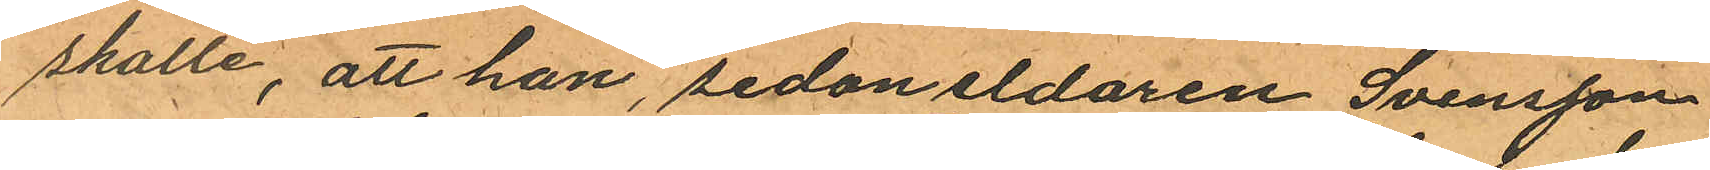skalle, att han, sedan eldaren Svensson
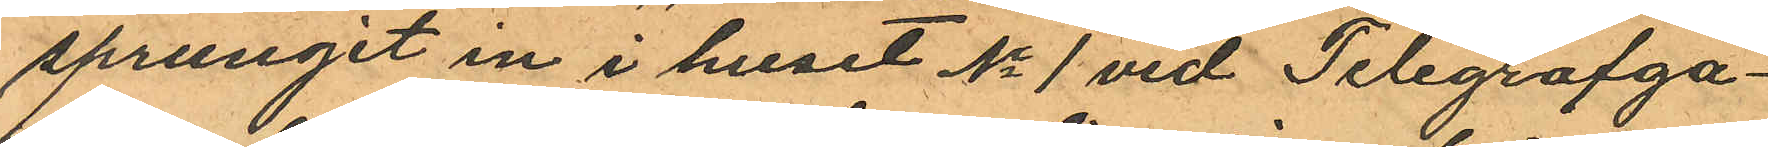sprungit in i huset No 1 vid Telegrafga¬
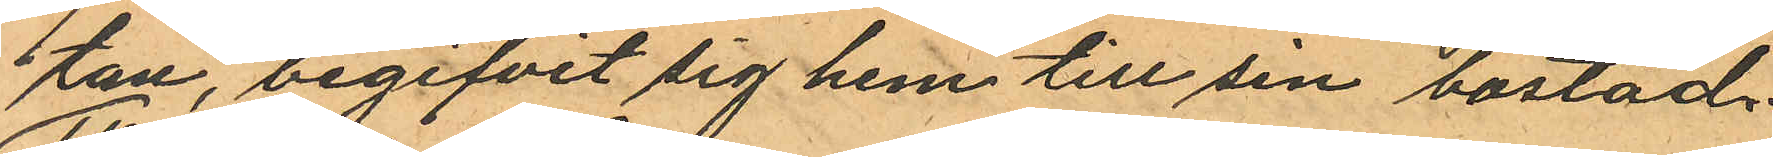tan, begifvit sig hem till sin bostad.
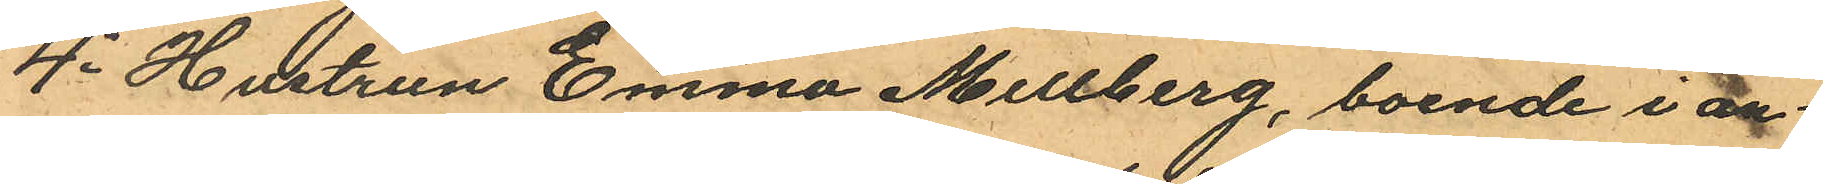4o Hustrun Emma Mellberg, boende i an¬
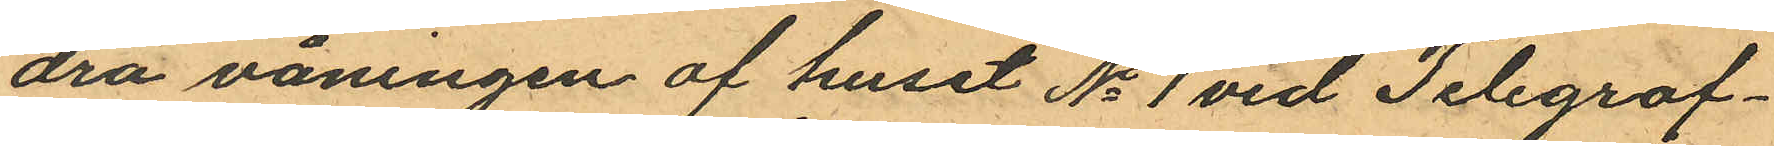dra våningen af huset No 1 vid Telegraf¬
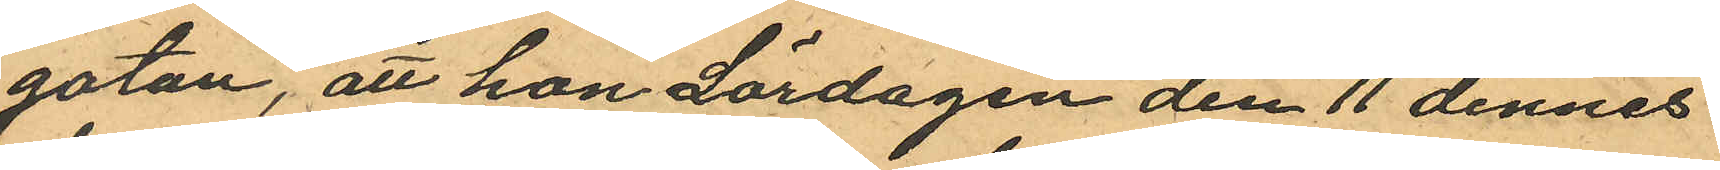gatan, att hon Lördagen den 11 dennes
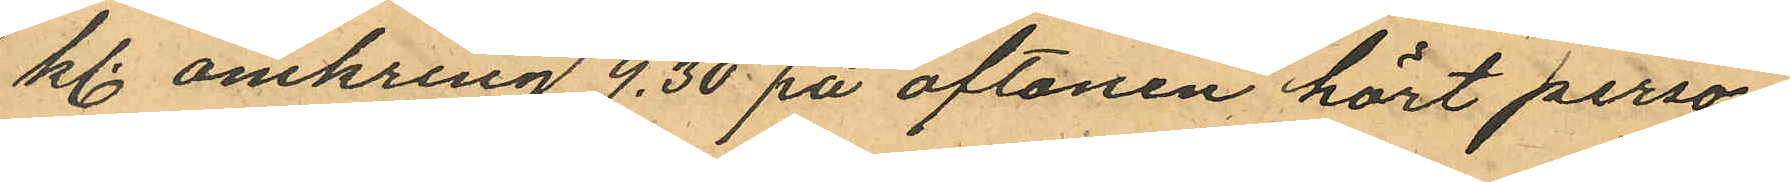kl. omkring 9,30 på aftonen hört perso¬
